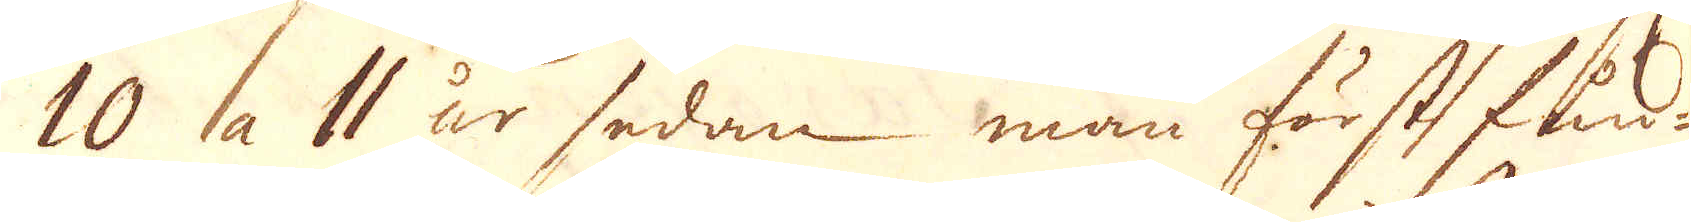10 a 11 år sedan man först fun-
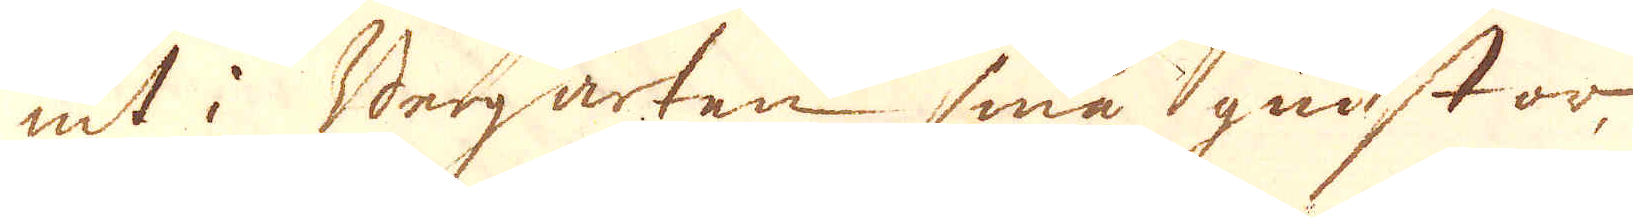nit i Bergarten små gnistor
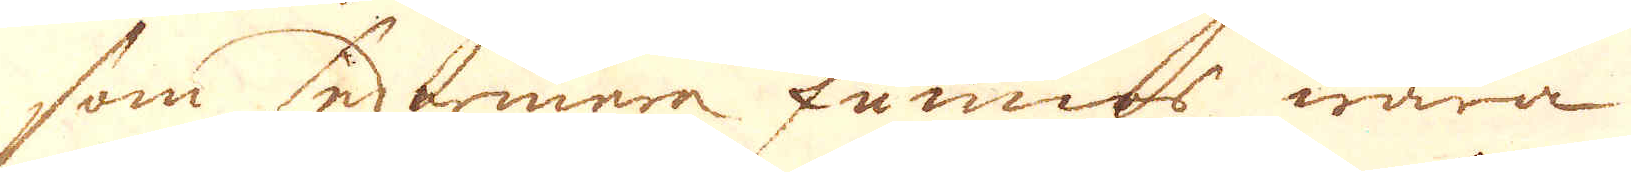som sedermera funnos wara
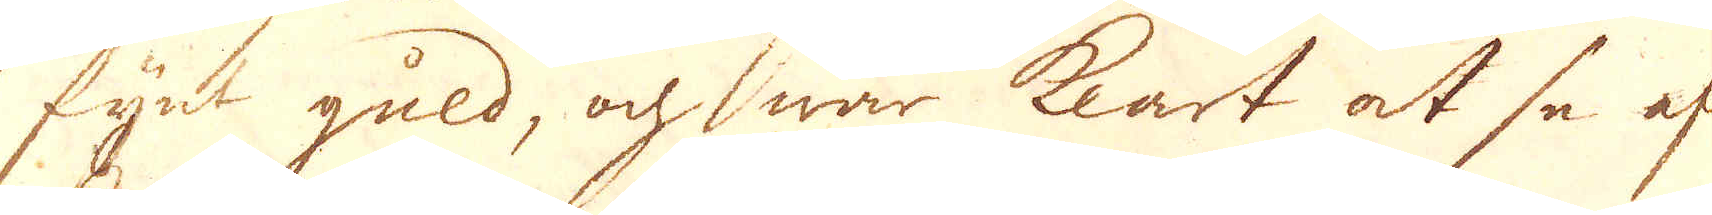fijnd guld, och war klart at se af
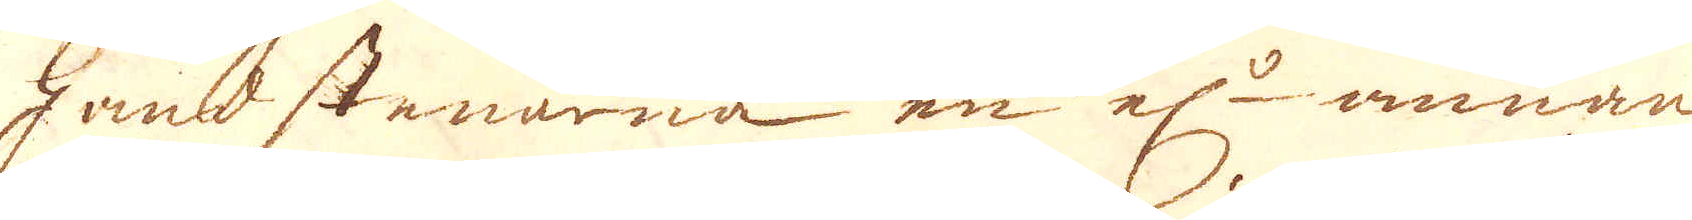hand stenarna en el:r annan
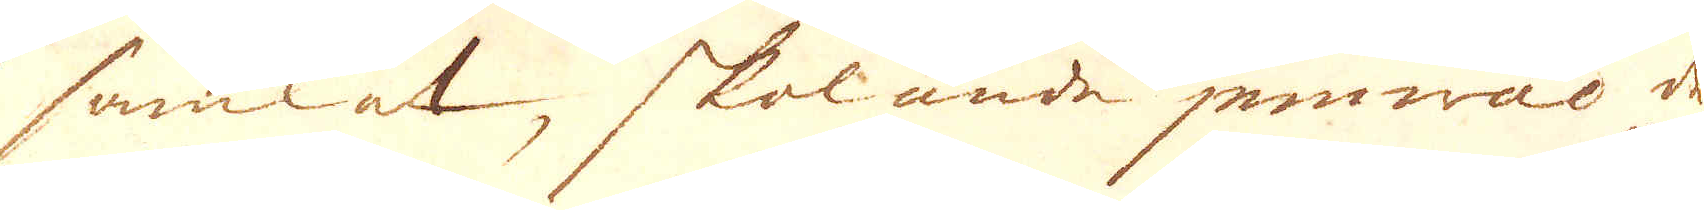samlat, skolande jemwäl de
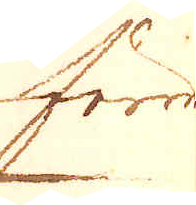förre
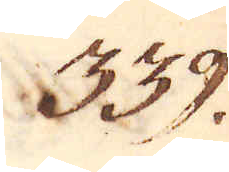339.
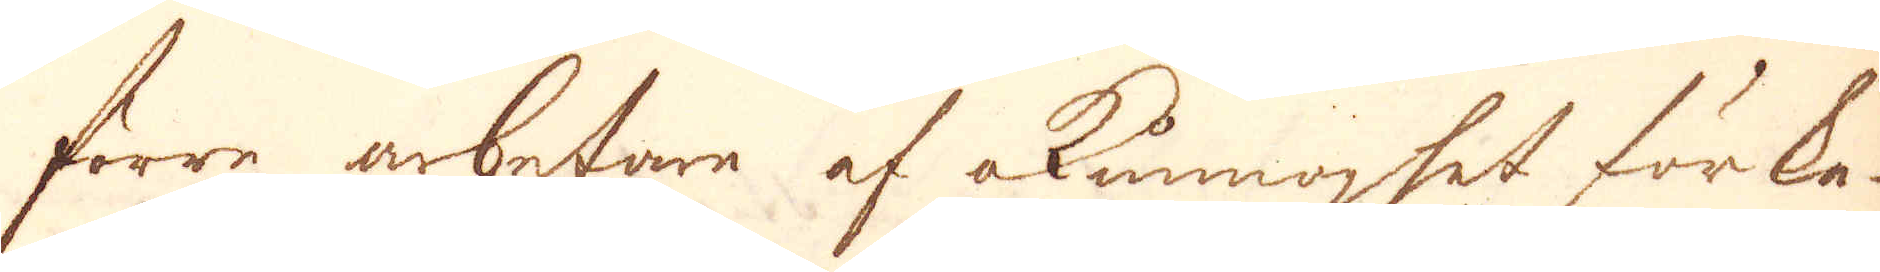förre arbetare af okunnoghet förka-
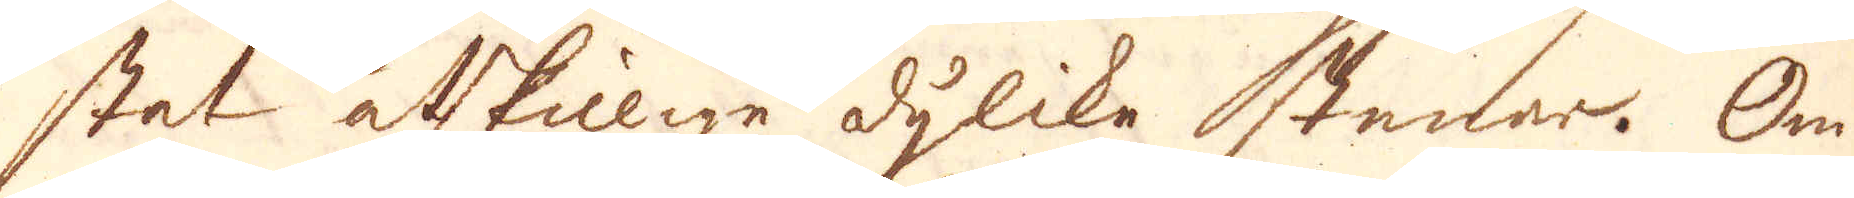stat åtskiilige dylika stenar. Om
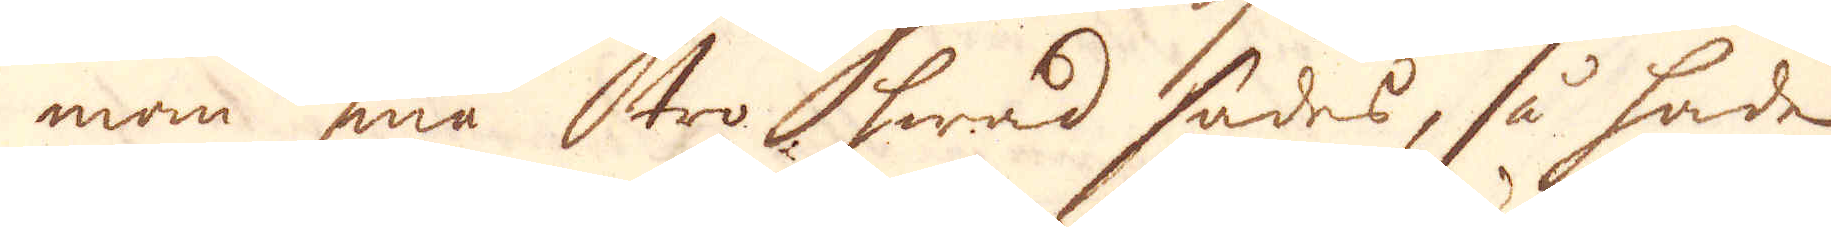man må tro hwad sades, så hade
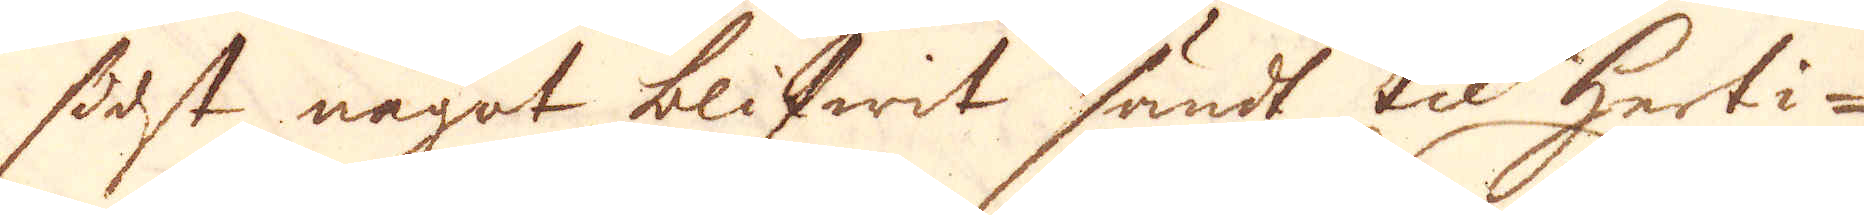först något blifwit sändt til herti-
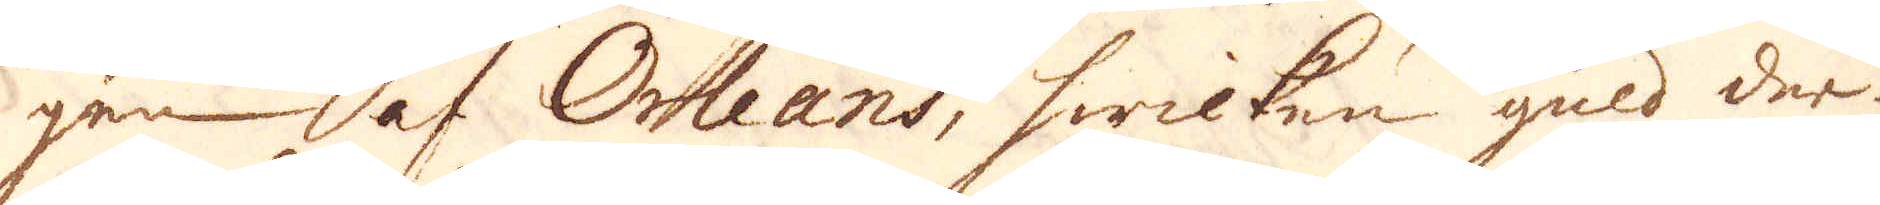gen af Orleans, hwilken guld der-
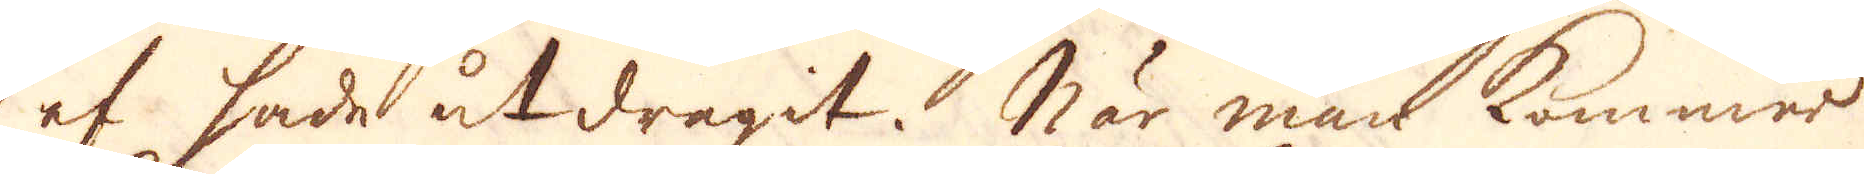af hade utdragit. När man kommar
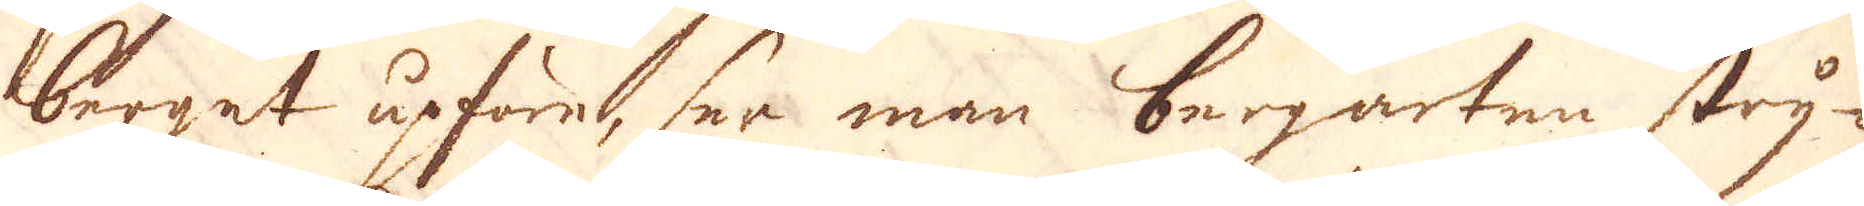berget upföre, ser man bergarten stry-
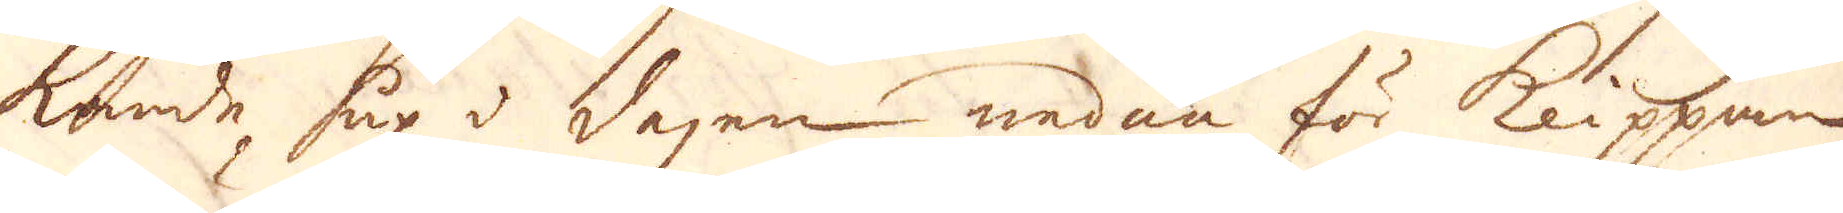kande up i dagen nedan för klippan
